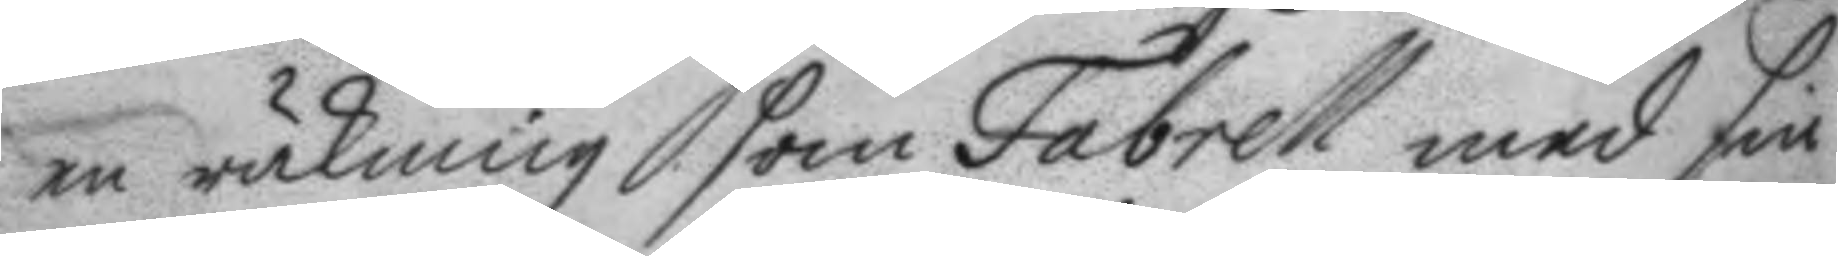en räkning som Fabrell med sin
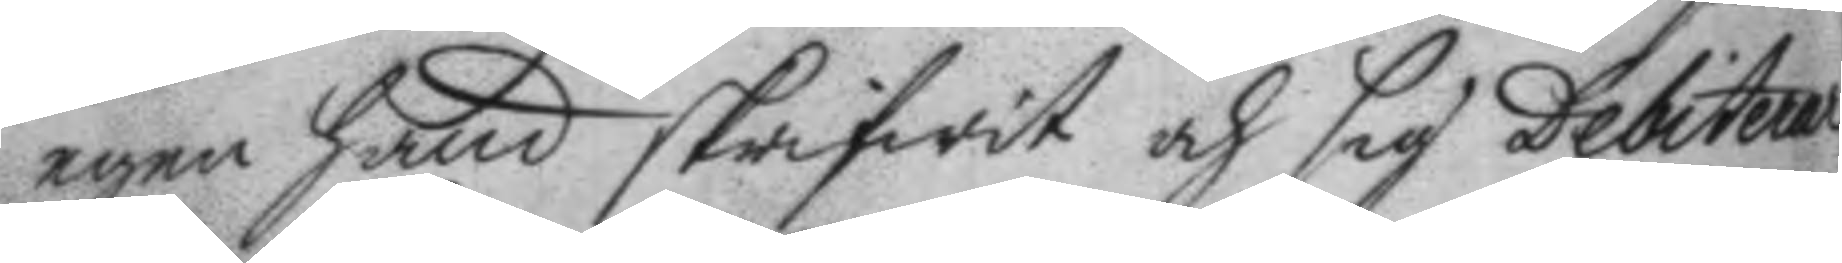egen hand skrifwit och sig Debiterar
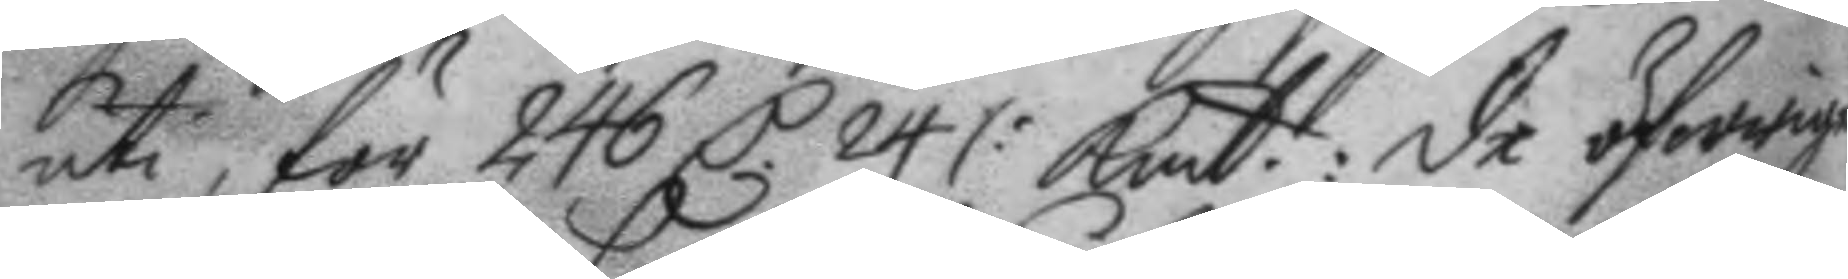uti, för 246 C 24 /: Kmt: de öfwrige
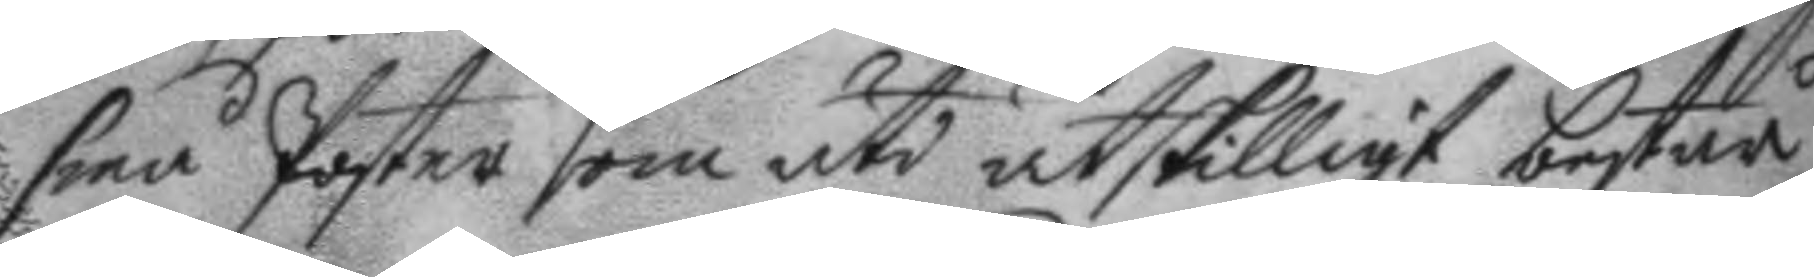små Poster som uti åtskilligt består
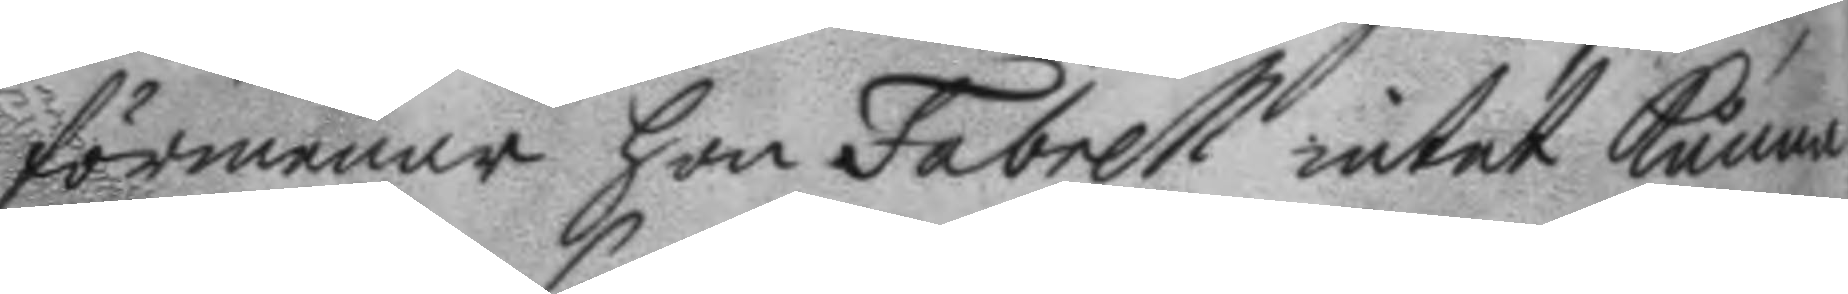förmenar hon Fabrell intet kunna
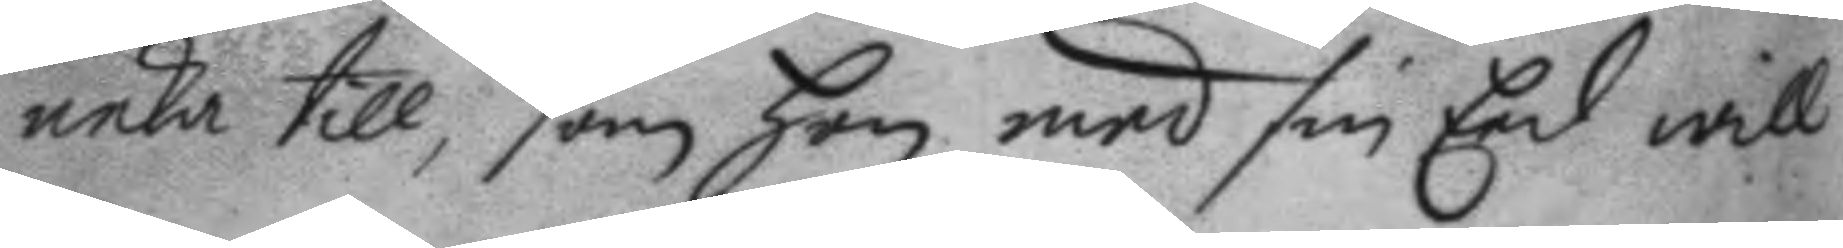neka till, som hon med sin Eed will
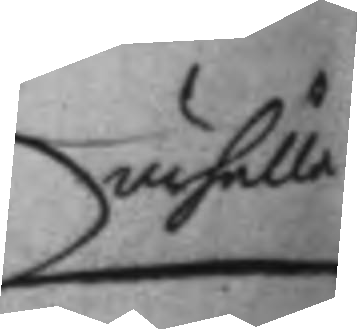ärhålla		
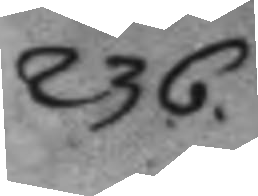236.
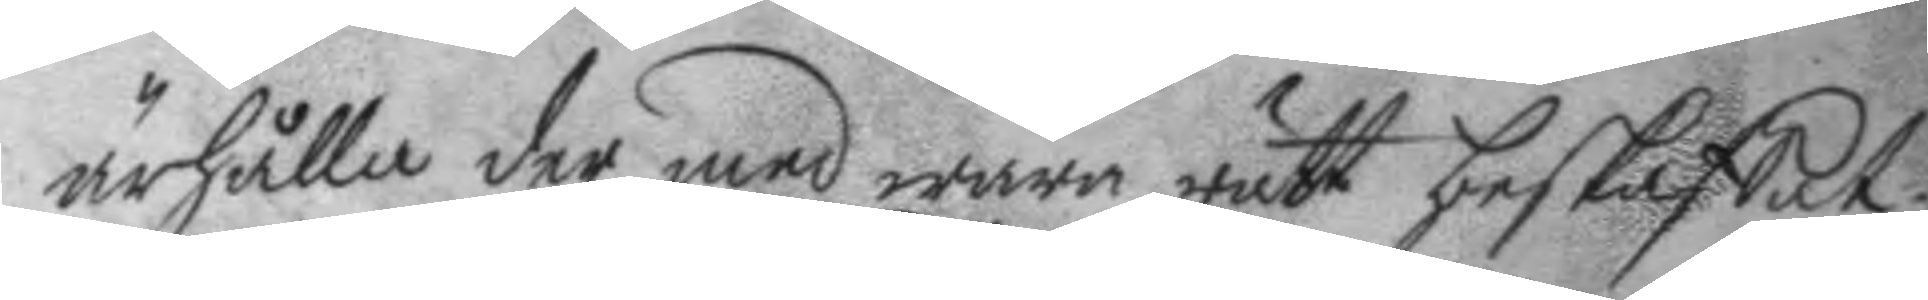ärhålla der med wara rätt beskaffat;
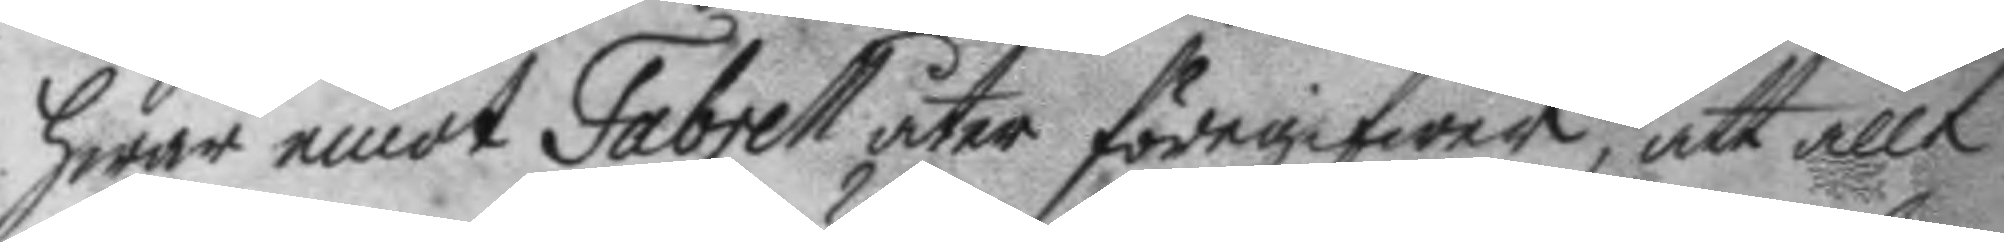hwar emot Fabrell åter föregifwer, att allt
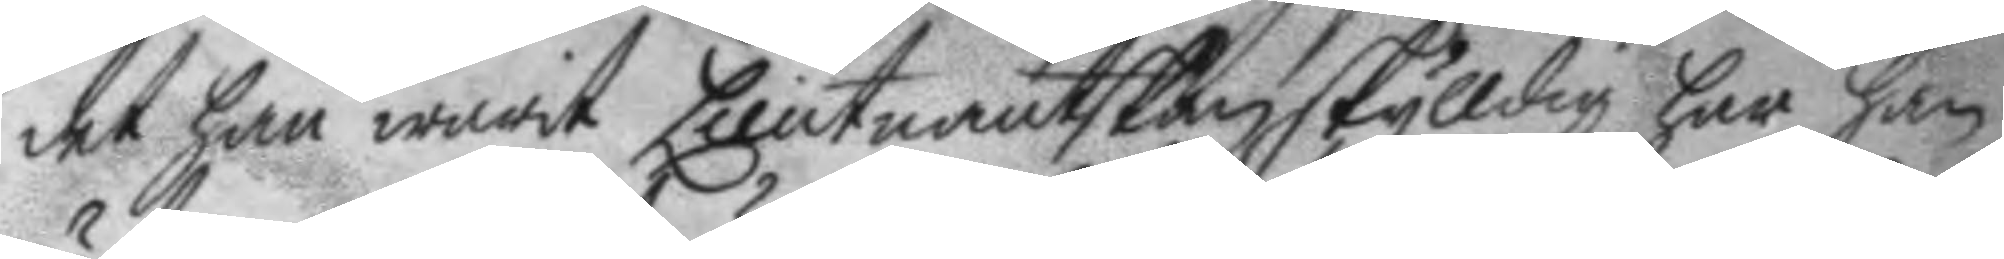det han warit Lieutnantskan skylldig har han
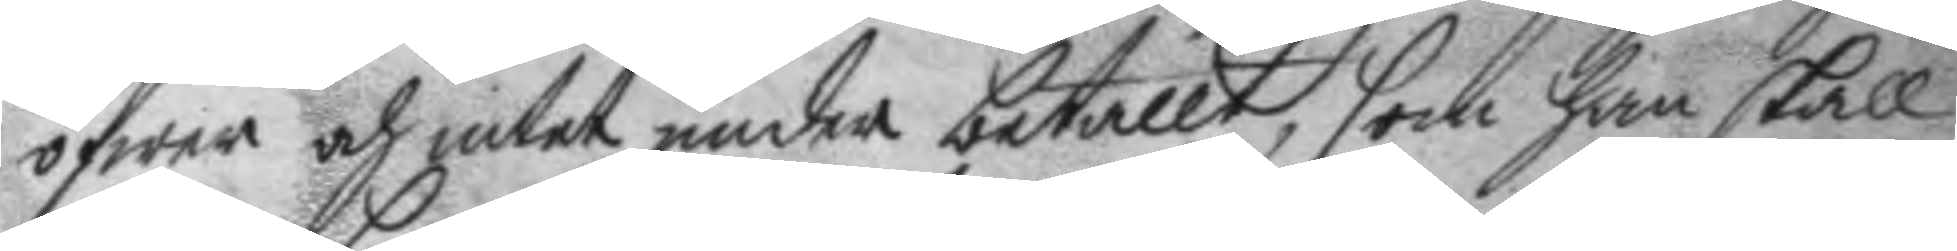öfwer och intet under betallt, som han skall
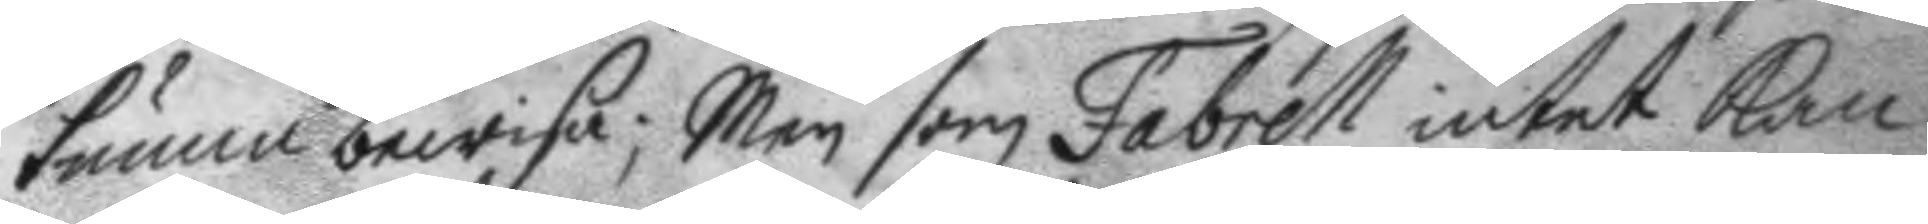kunna bewisa; Men som Fabrell intet kan
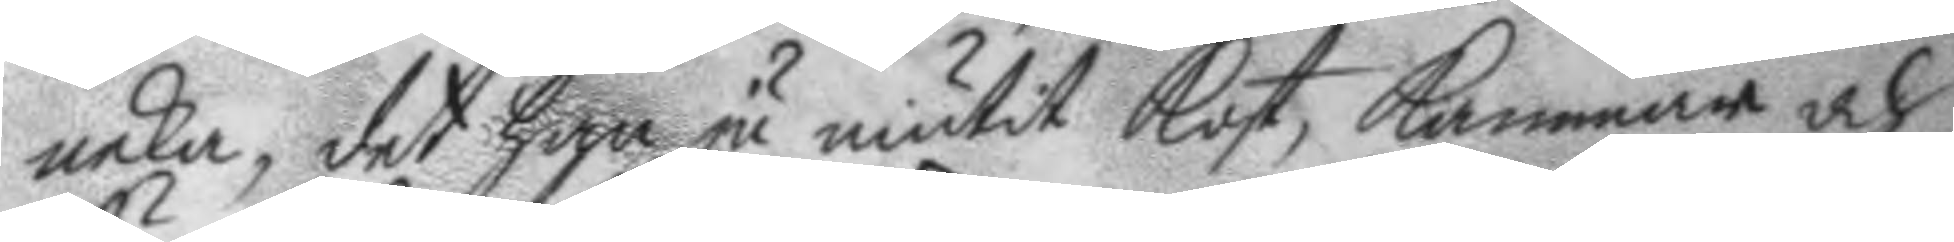neka, det han ju niutit kost, kammar och
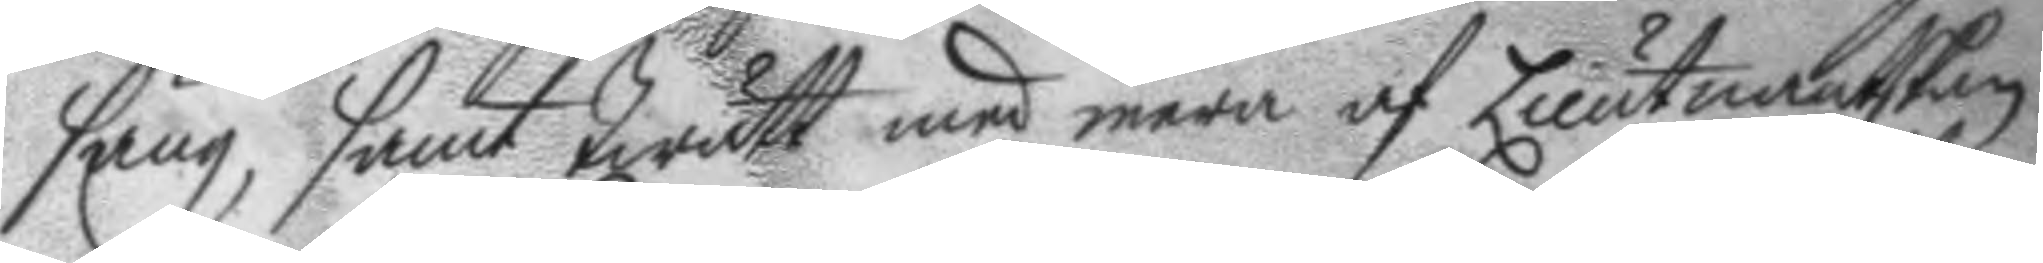säng, samt twätt med mera af Lieutnantskan
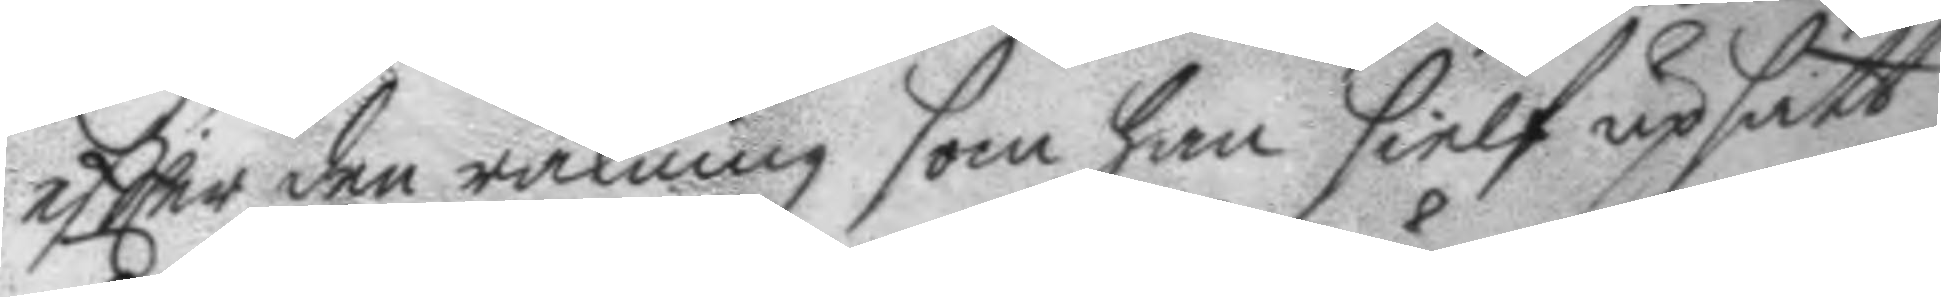eftter den räkning som han sielf upsatt
